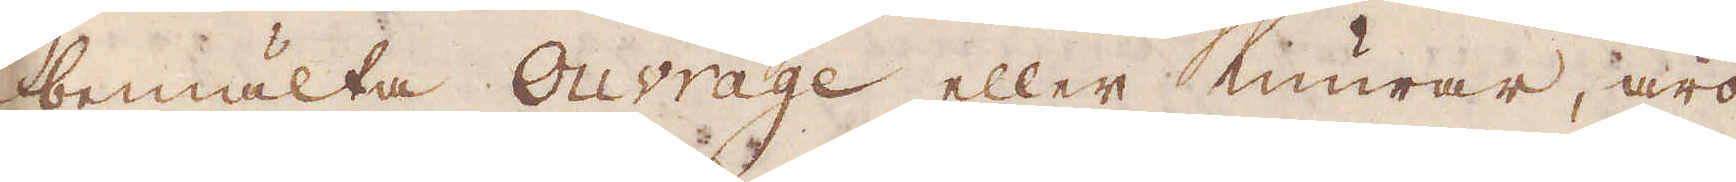bemälte Ouvrage eller murar, äro
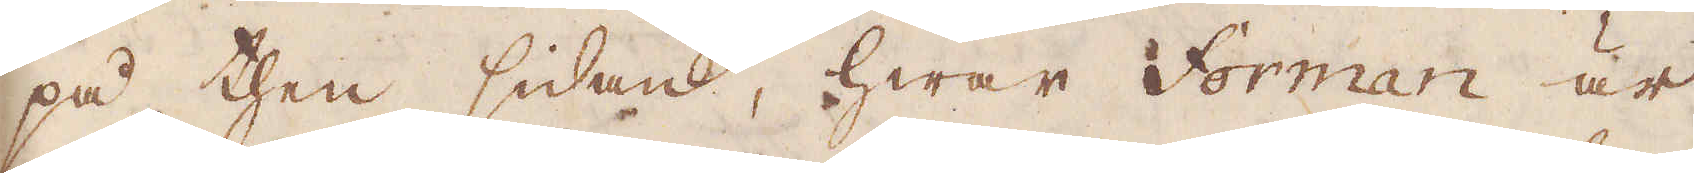på then sidan, hwar Forman är,
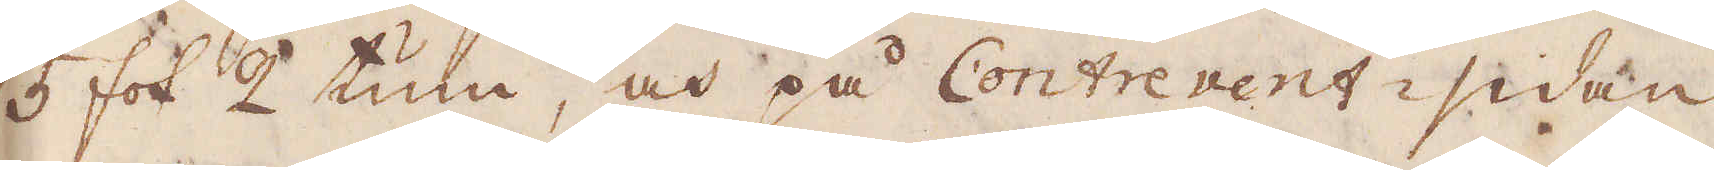5 fot 2 tum, och på Contrevent-sidan
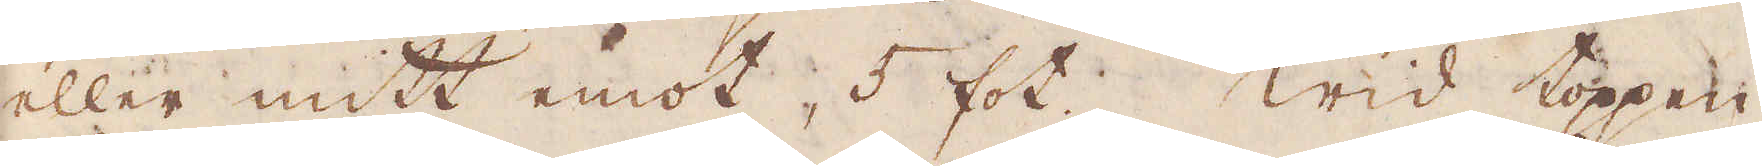eller mitt emot, 5 fot. Wid toppen
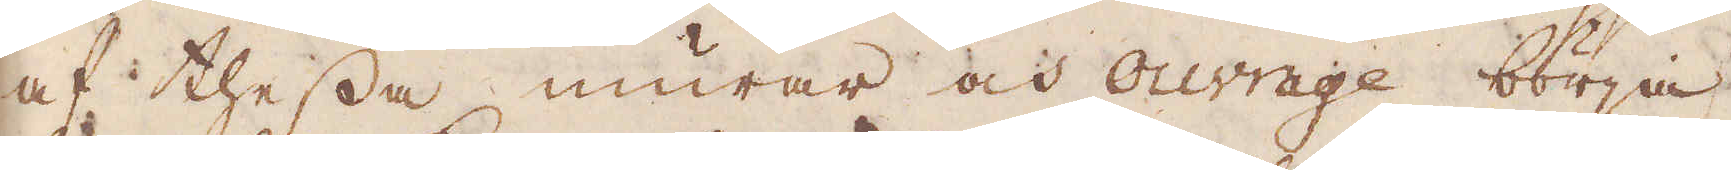af thessa murar och ouvrage börja
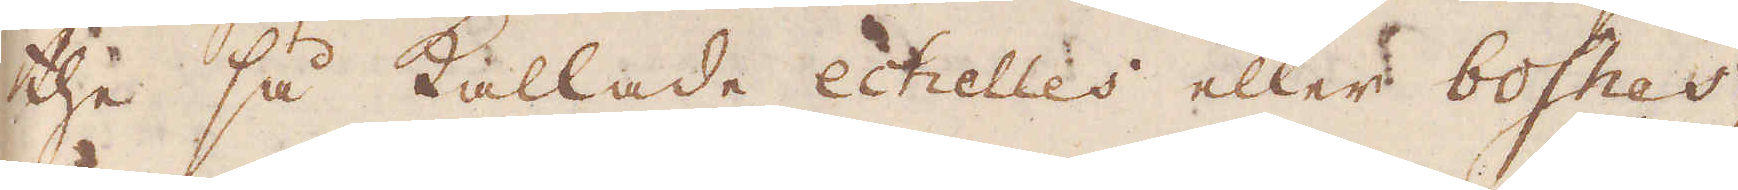,the så kallade echelles eller boshes,
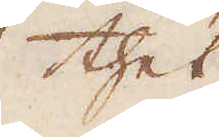thet
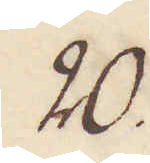20.
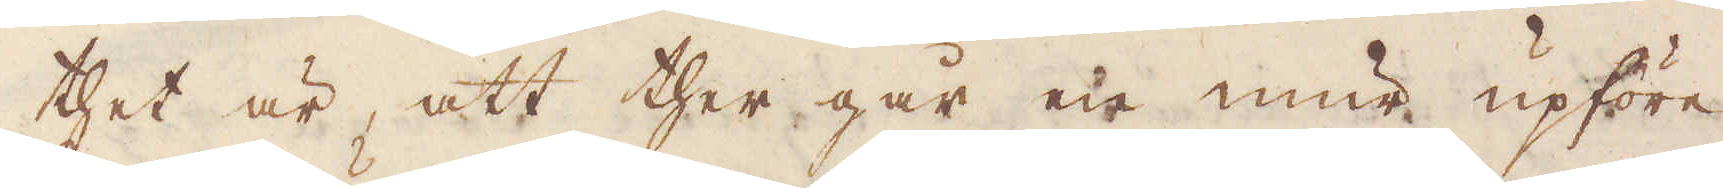thet är, att ther går en mur upföre,
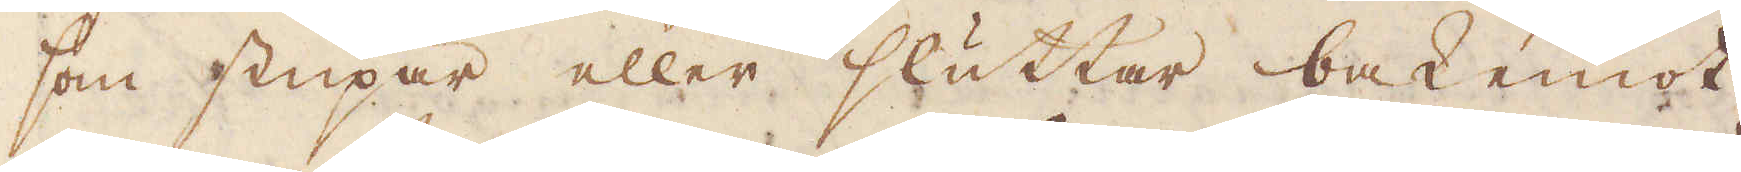som stupar eller sluttar bak emot
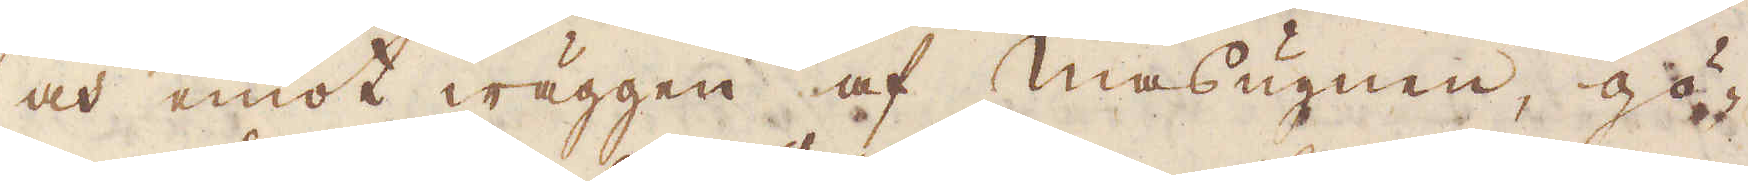och emot wäggen af Masugnen, gö-
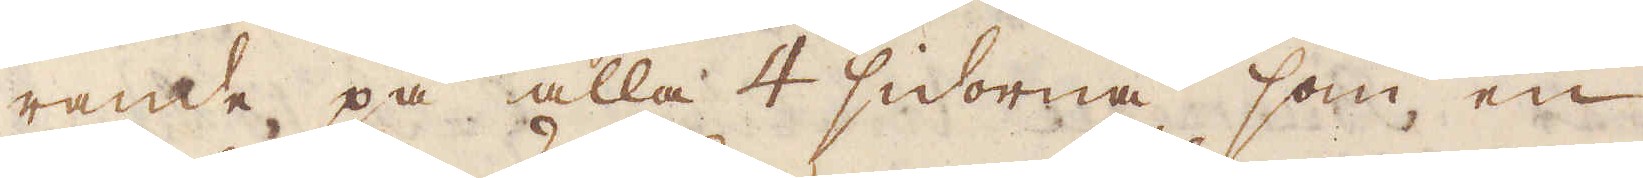rande på alla 4 sidorna, som en
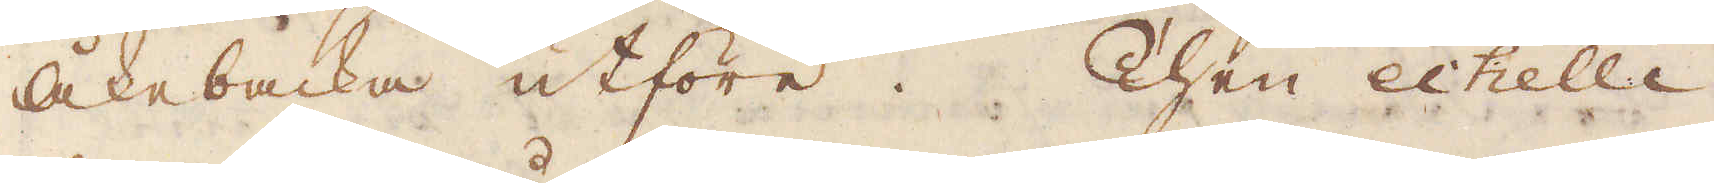Åkebacke utföre. Then echelle
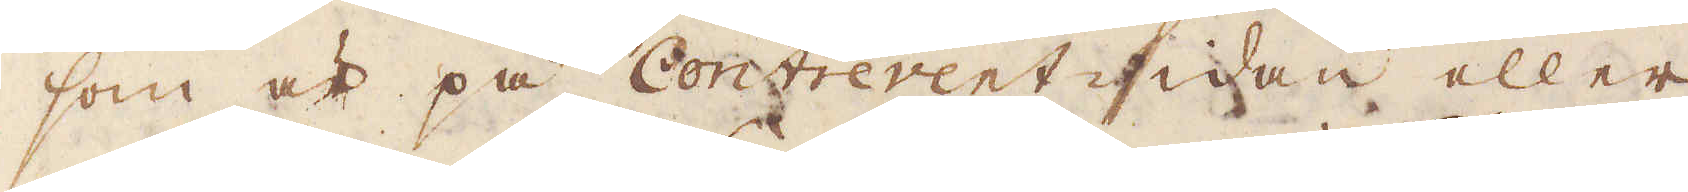som är på Contrevent-sidan eller
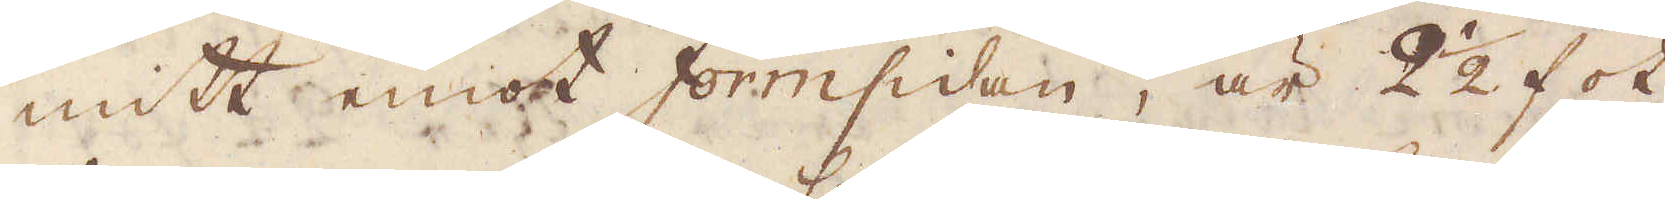mitt emot Formsidan, är 2 1/2 fot
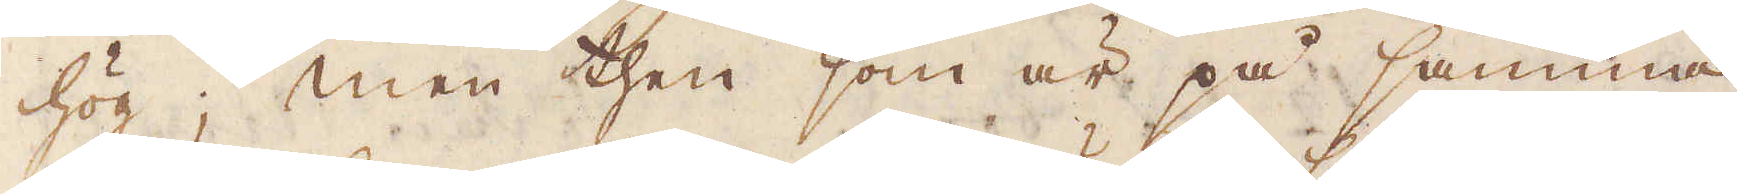hög; men then som är på samma
